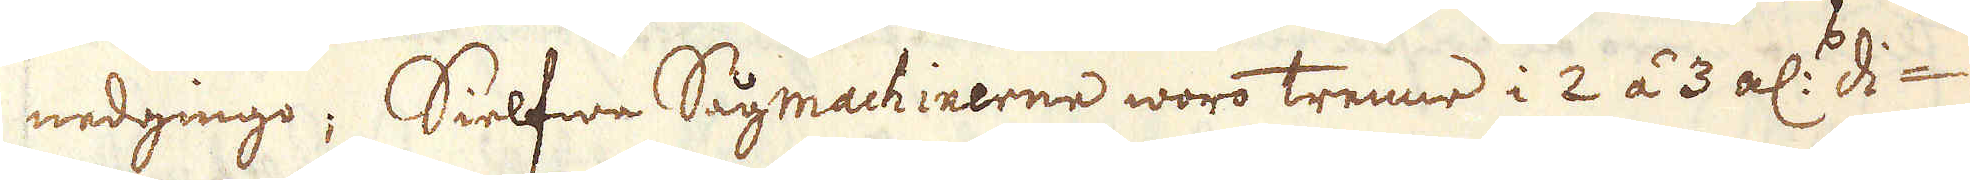nedgingo. Sielfwa Sågmachinerne woro trenne i 2 áà 3 alsr d-i
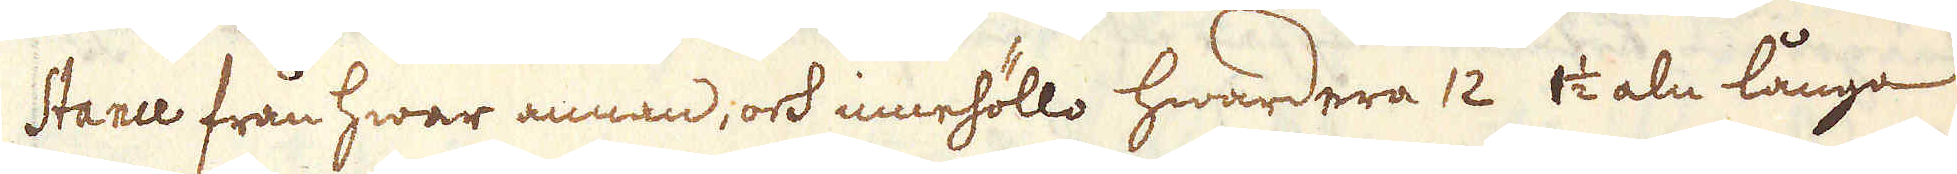stance från hwar annan, ock innehöllo hwardera 12 1 1/2 vi aln långa
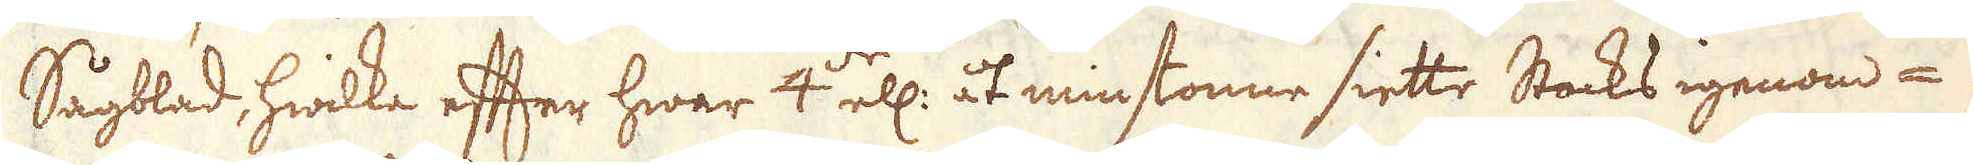Sågblad, hwilka eften hwar 4:de ell. åtminstonne siette Stocks igenom-
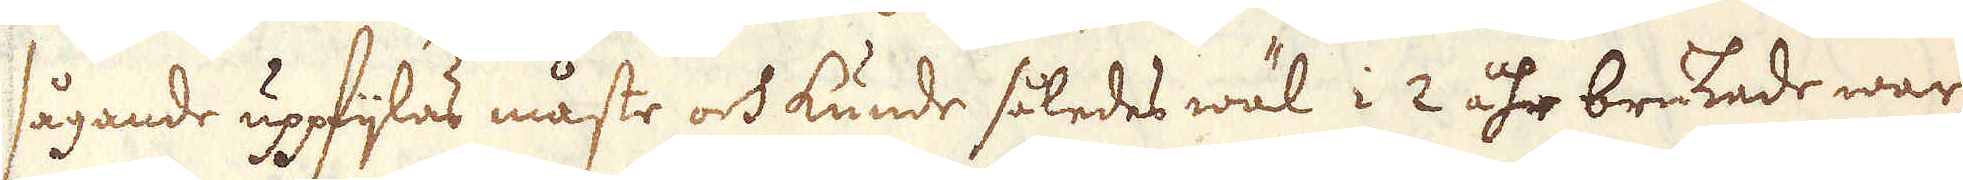sågande uppfylas måste och kunde således wäl i 2 åhr brukrade war-
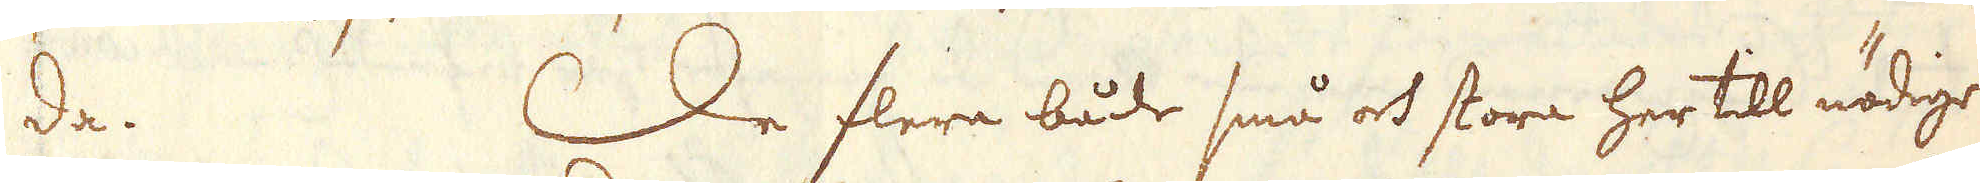da. De flera både små ock stora her till nödige
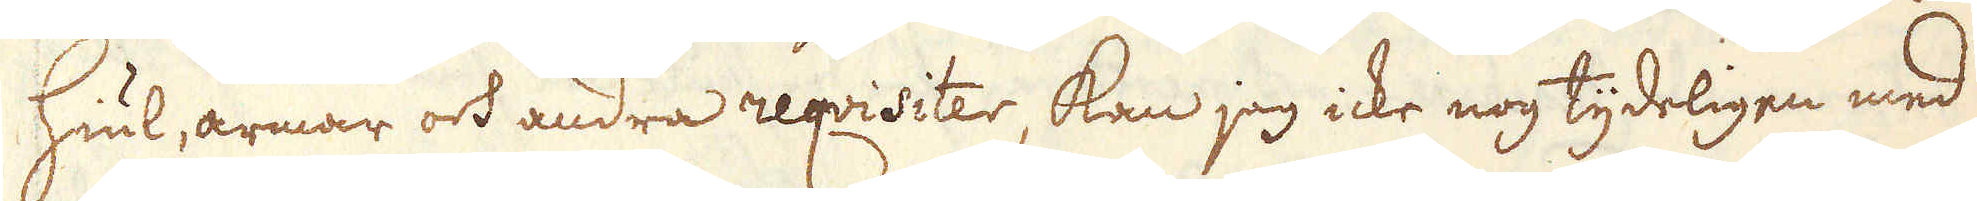hiul, armar och andra reqvisiter, kan jag icke nog tydeligen med
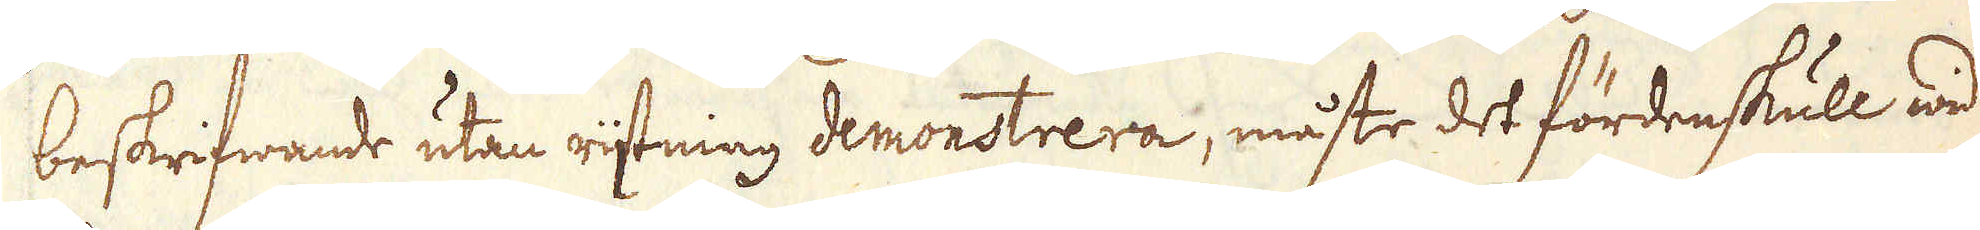beskrifwande utan rijtning demonstrera, måste det fördenskull wid
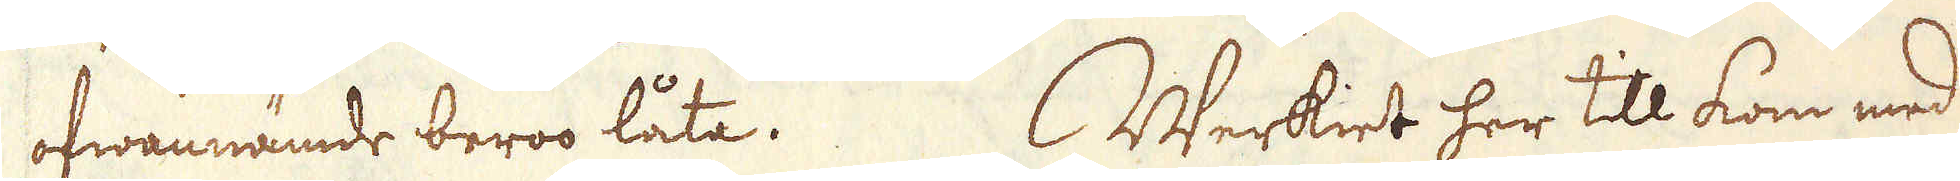ofwannämde beroo låta. Werkiet her till kom med
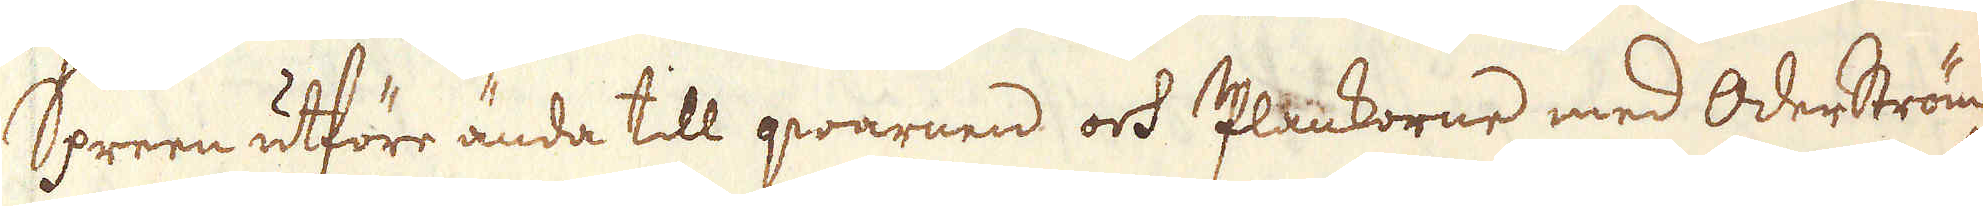Spreen utföre ända till qwarnen och Plankorne med Oderström-
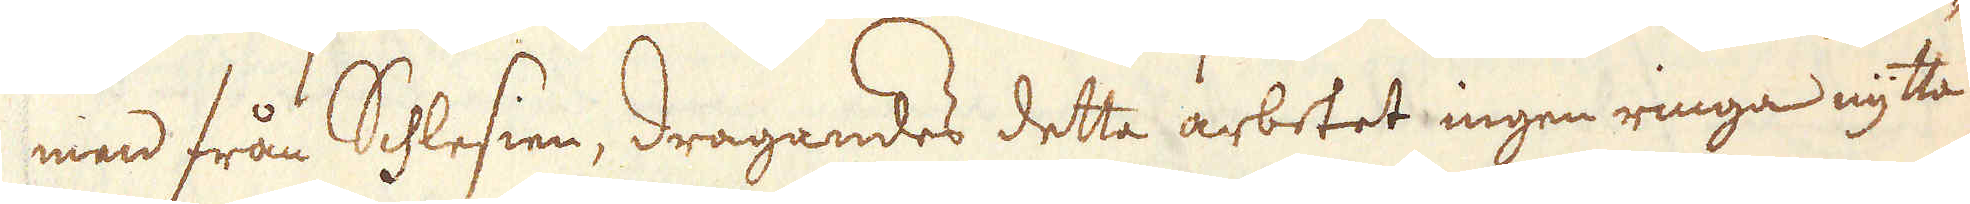men från Schlesien, dragandes detta arbetet ingen ringa nytta
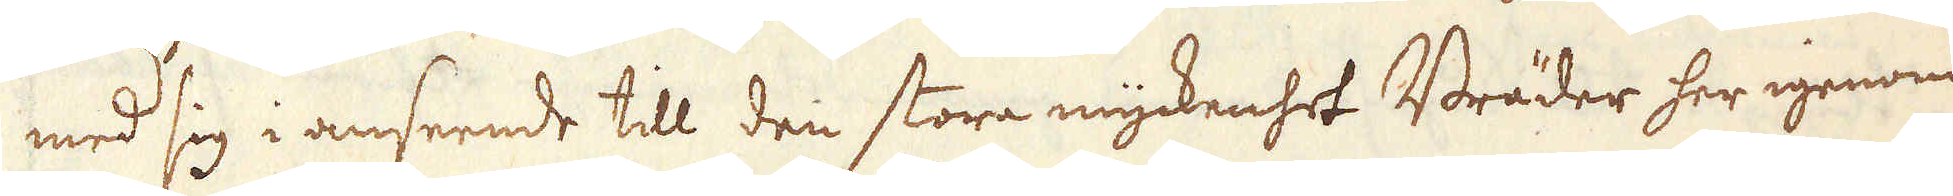med sig i anseende till den stora myckenhet Bräder her igenom
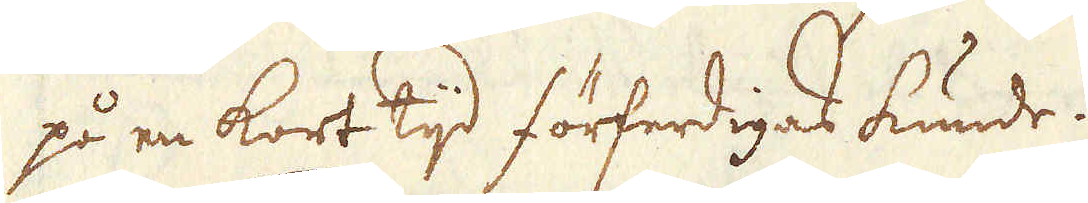på en kort tijd förferdigas kunde.
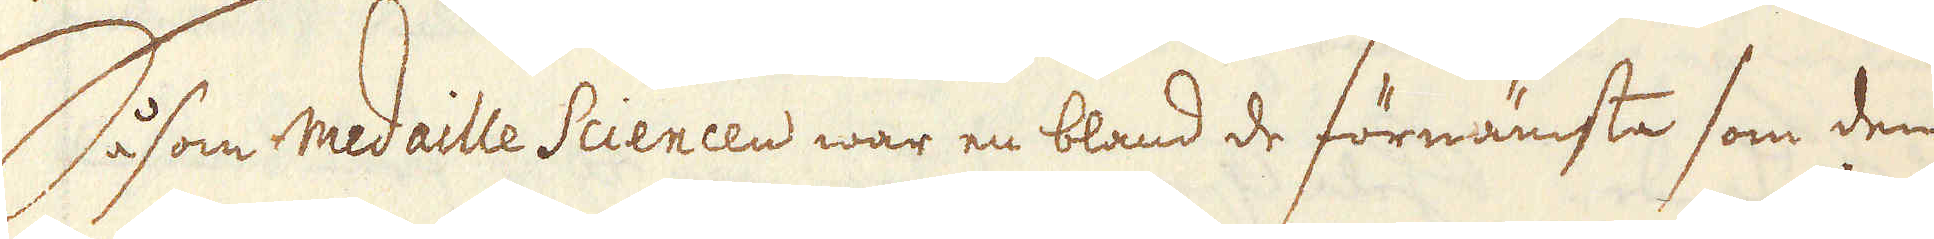Såsom medaille Sciences war en bland de förnämsta som den
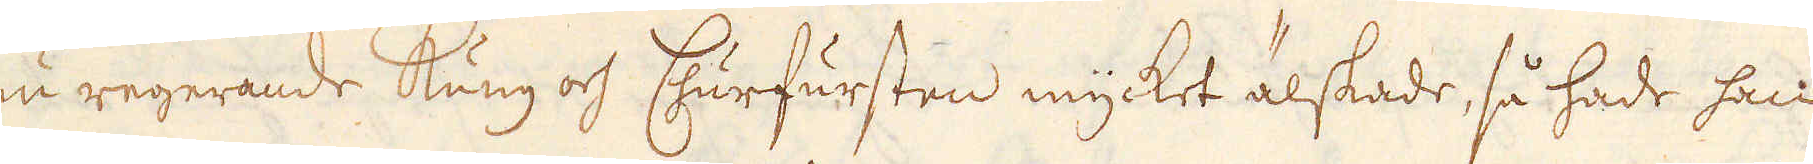nu regerande kung och Churfursten mycket älskade, så hade han
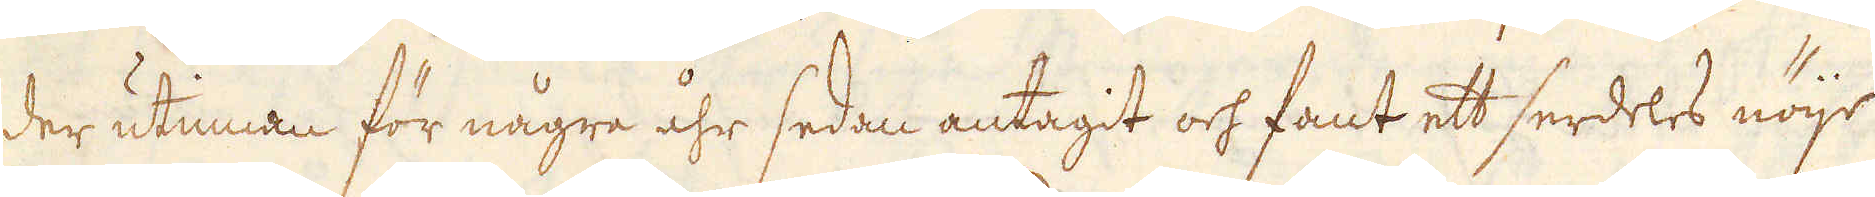der utinnan för några åhr sedan antagit och fant ett serdeles nöje
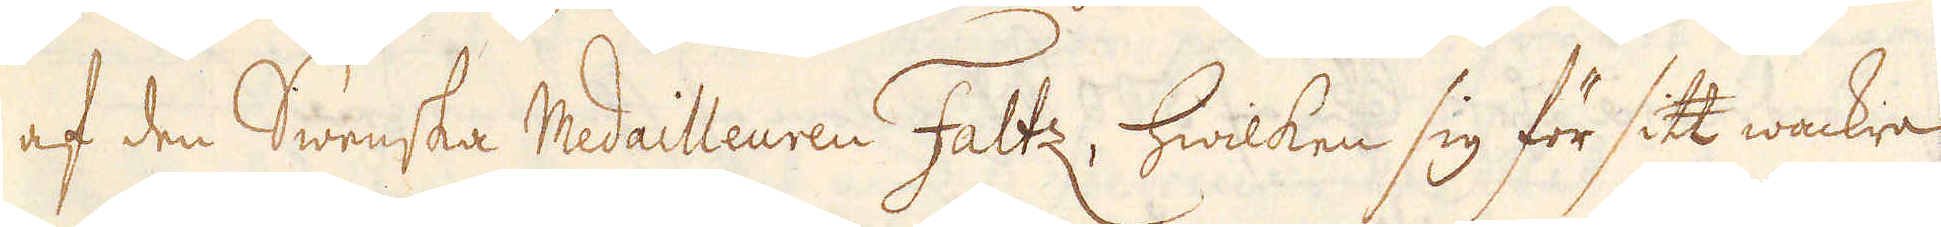af den Swenska medailleuen Faltz, hwilken sig för sitt wackra
